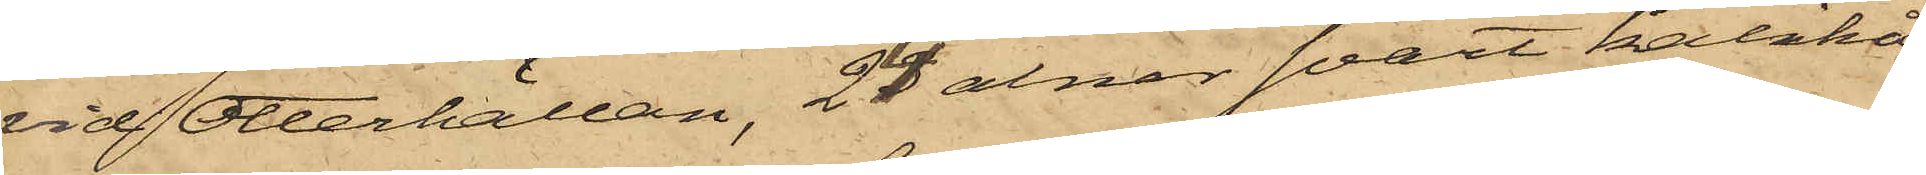vid Otterhällan, 24 alnar svart kalikå,
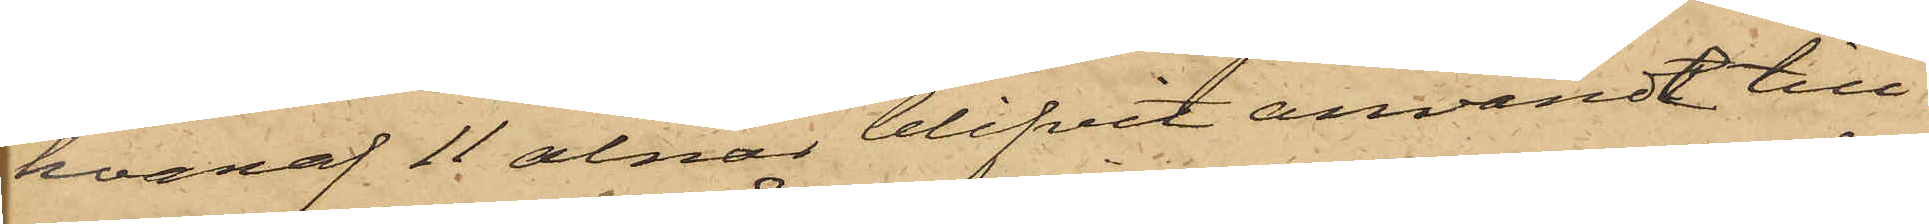hvaraf 11 alnar blifvit användt till
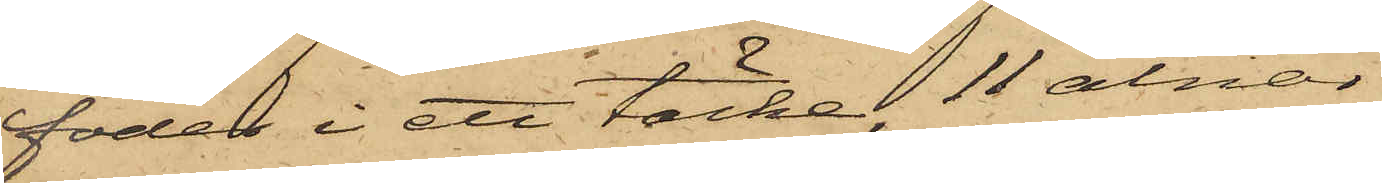foder i ett täcke, 11 alnar
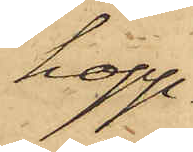hopp¬
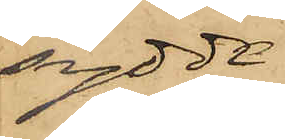sydde
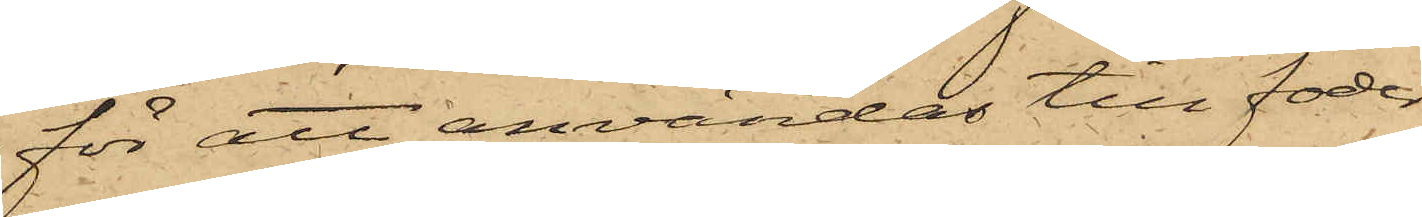för att användas till foder
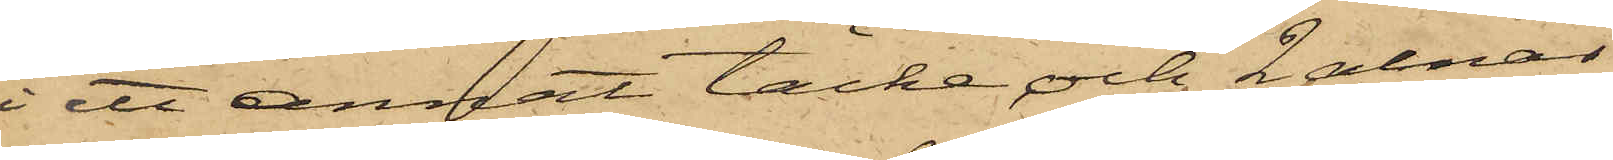i ett annat täcke och 2 alnar
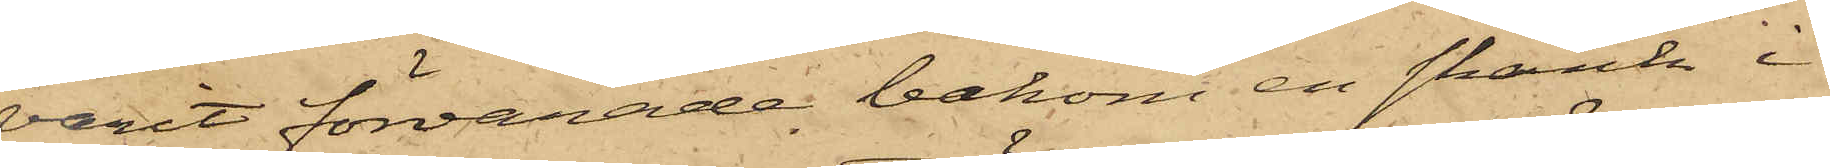varit förvarade bakom en skänk i
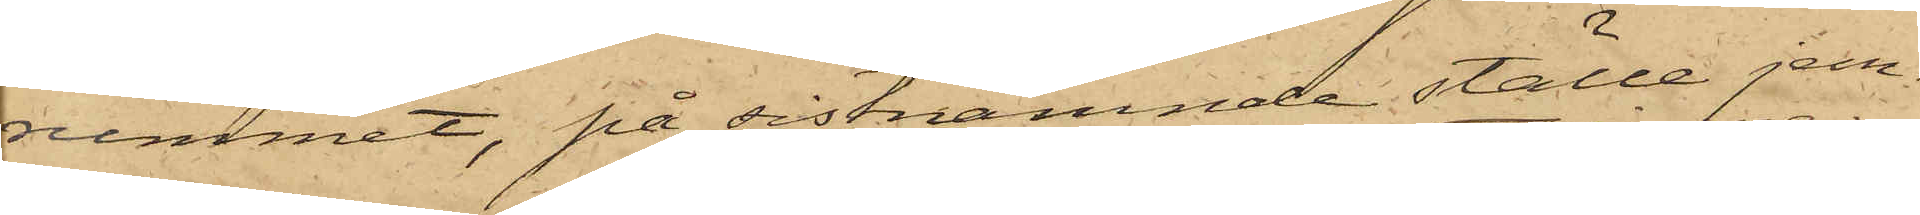rummet, på sistnämnde ställe jem¬
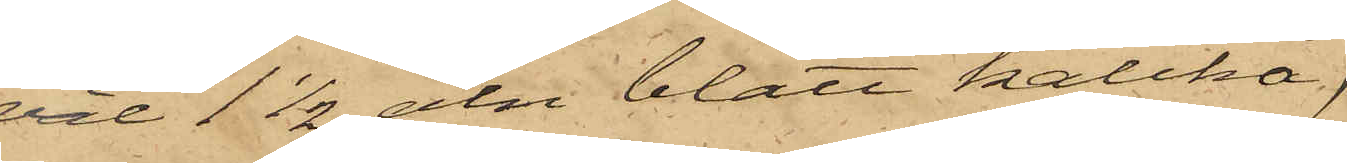väl 1 1/2 aln blått kalikå,
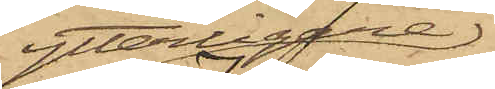ytterligare
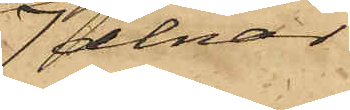7 alnar
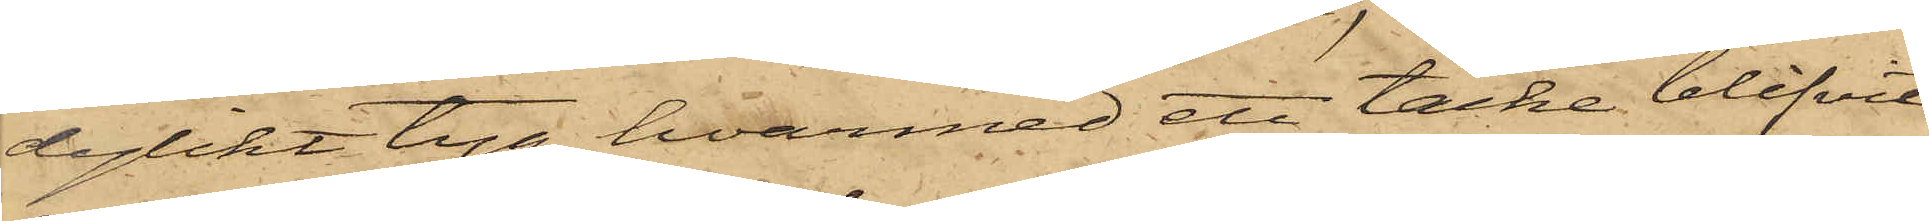dylikt tyg, hvarmed ett täcke blifvit
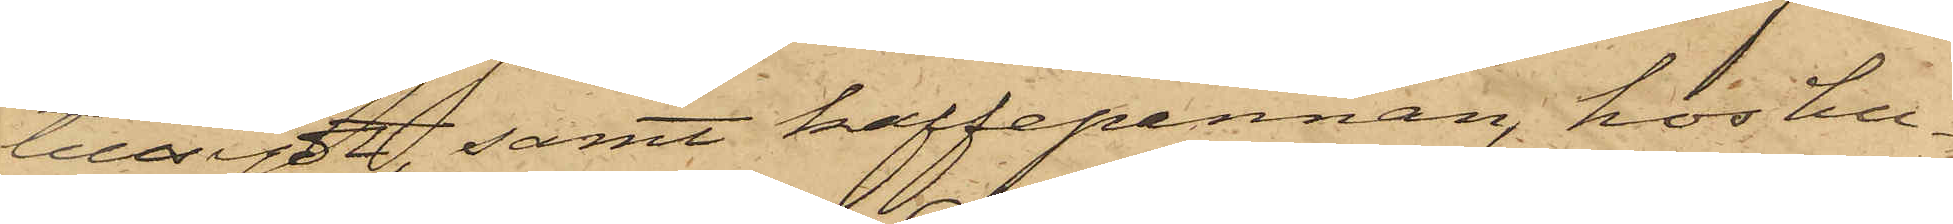tillsytt; samt kaffepannan, hos hu¬
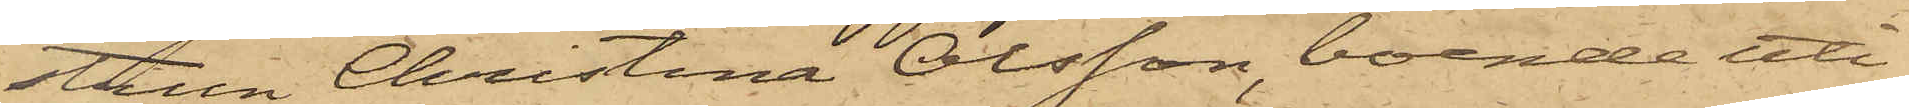strun Christina Olsson, boende uti
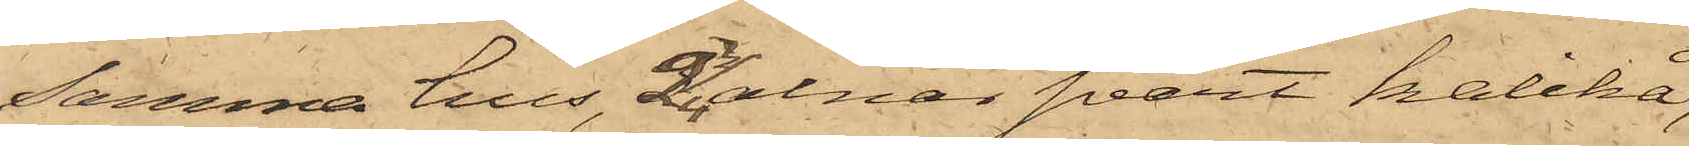samma hus, 2 3/4 alnar svart kalikå,
